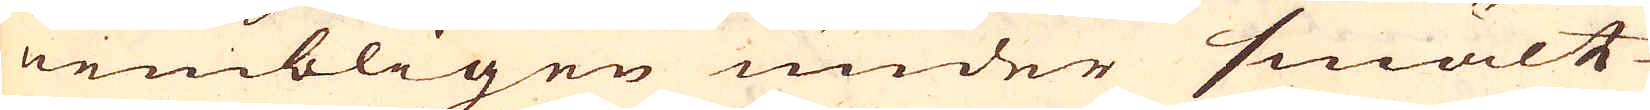nembligen under smält-
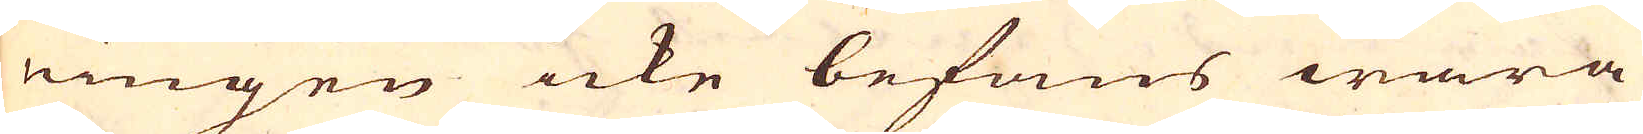ningen icke befans wara
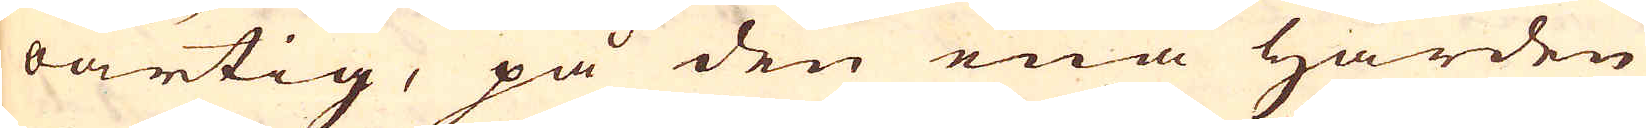oartig, på den ena härden
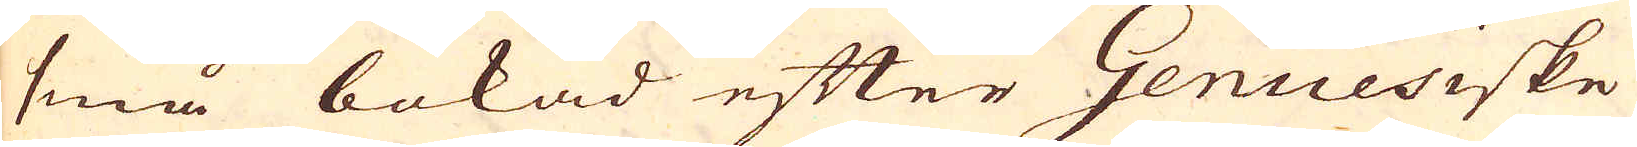små bokad efter Genuesiske
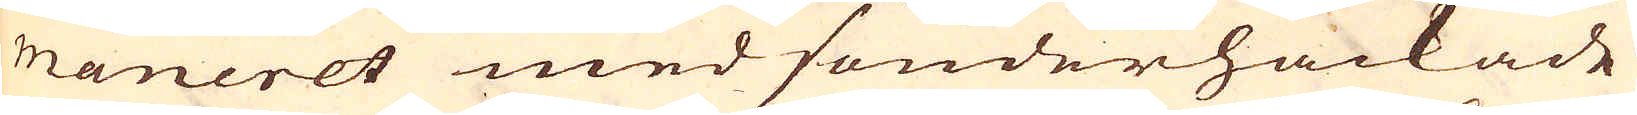maneret med sönderhackade
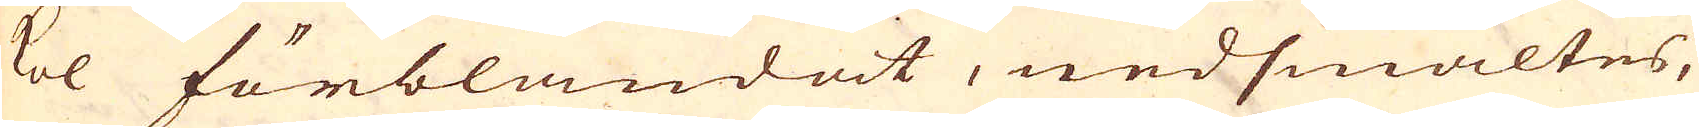kol förblandat, nedsmältes,
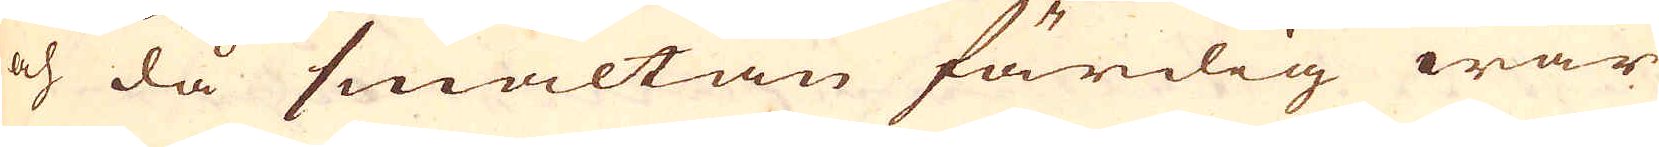och då smältan färdig war
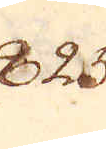825.
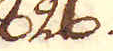826.
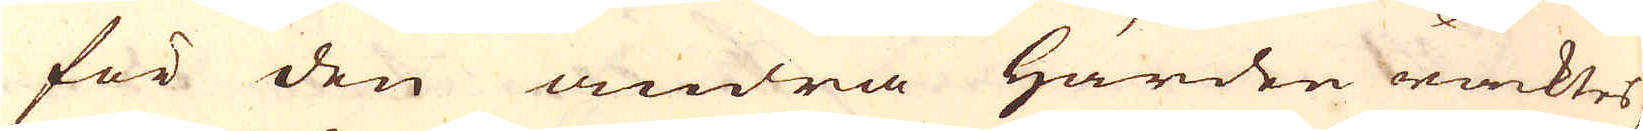för den andra härden räcktes,
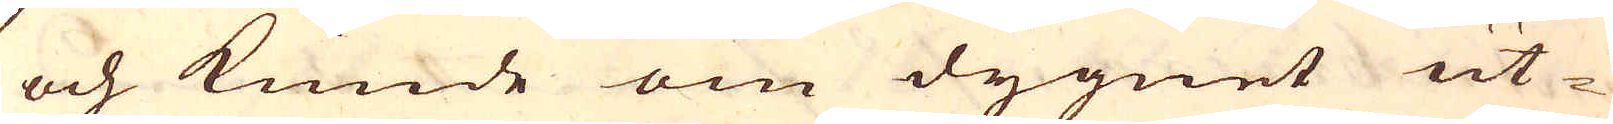och kunde om dygnet ut-
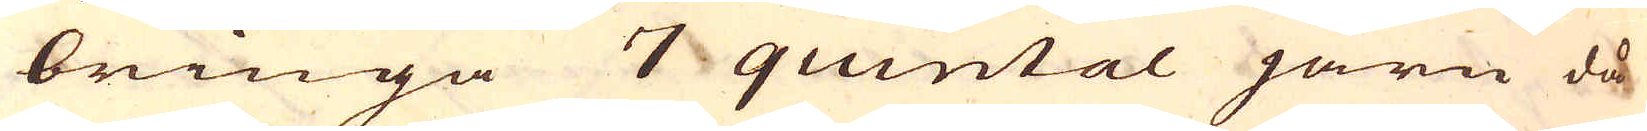bringa 7 quintal järn då
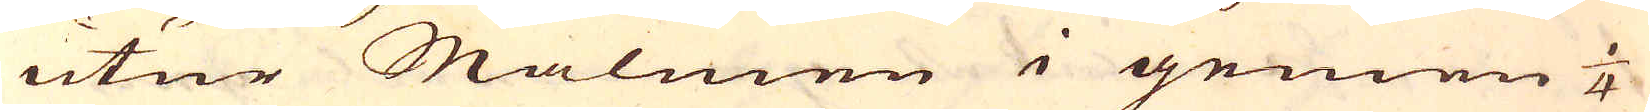utur Malmen i gemen 1/4
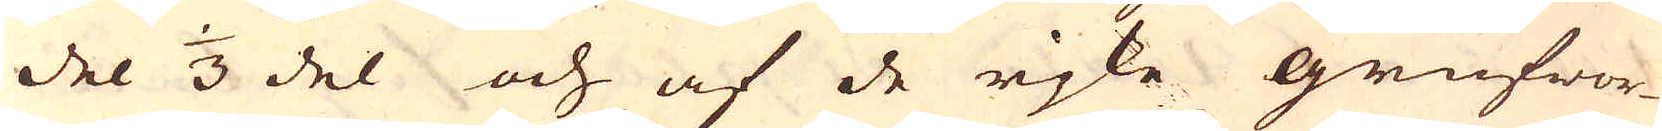del 1/3 del och af de rjke grufwor-
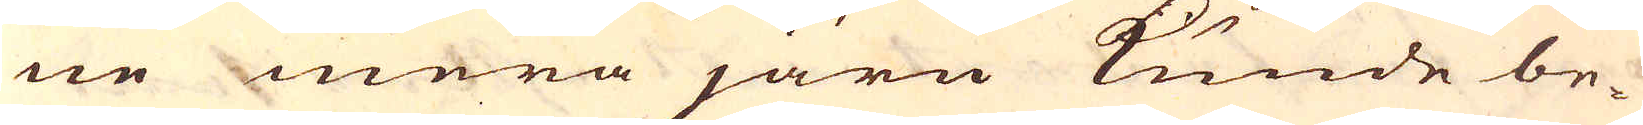ne mera järn kunde be-
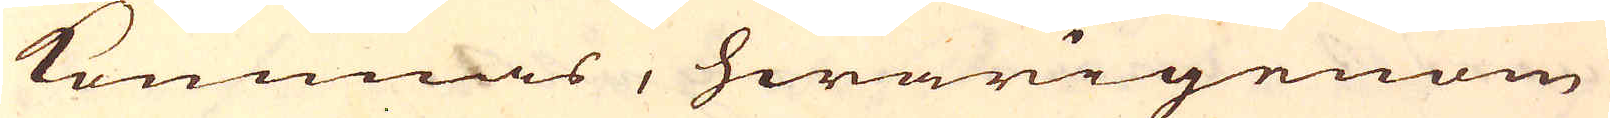kommas, hwarigenom
